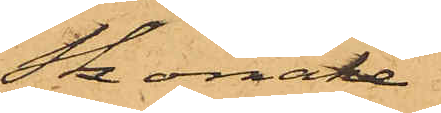Skomake¬
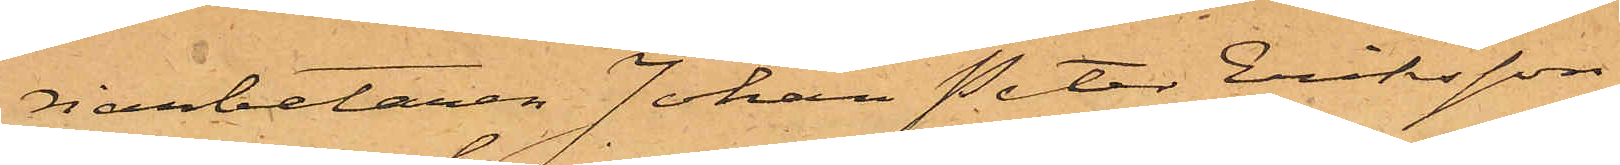riarbetaren Johan Peter Eriksson
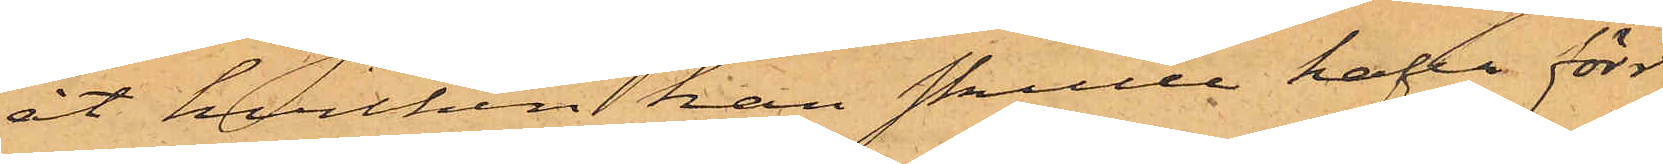åt hvilken han skulle hafva förr
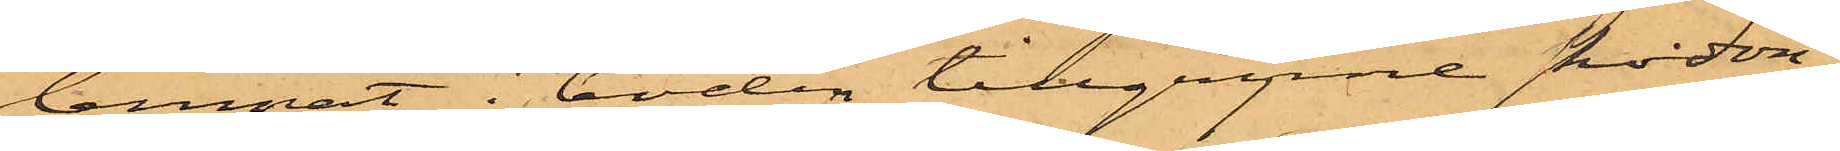lemnat i boden tillgripne skodon;
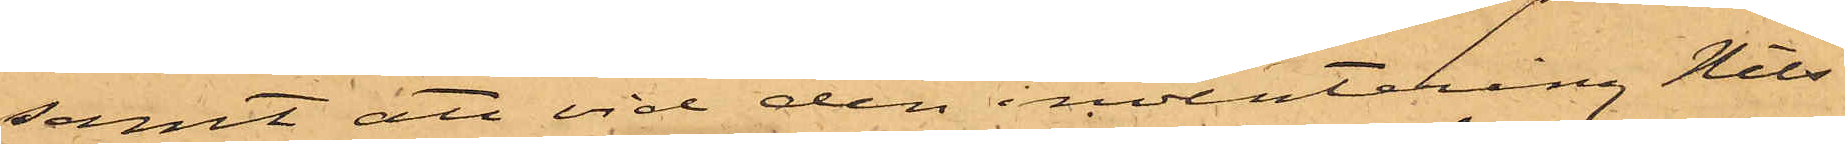samt att vid den inventering Nils¬
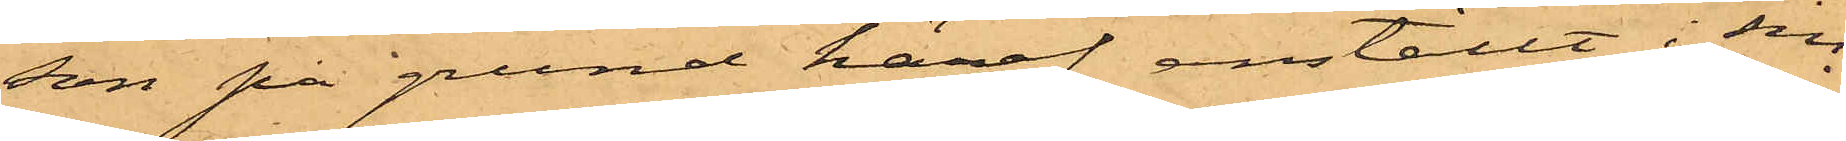son på grund häraf anställt i sin
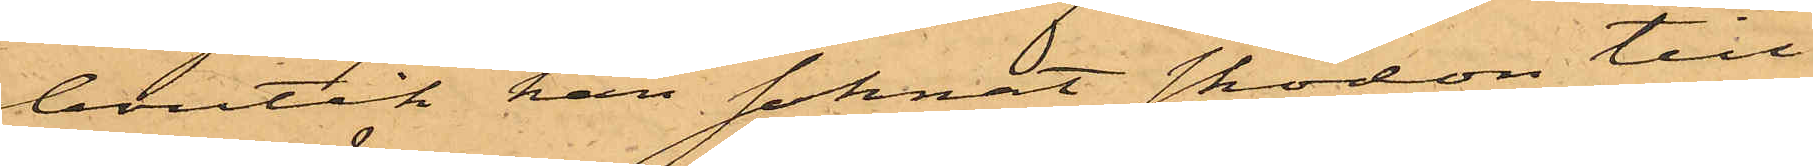boutik han saknat skodon till
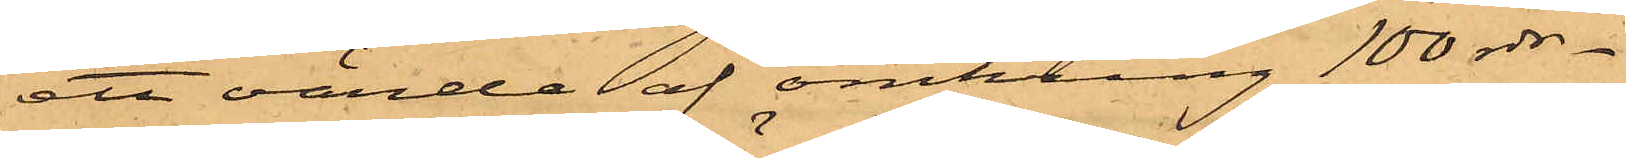ett värde af omkring 100 rdr.
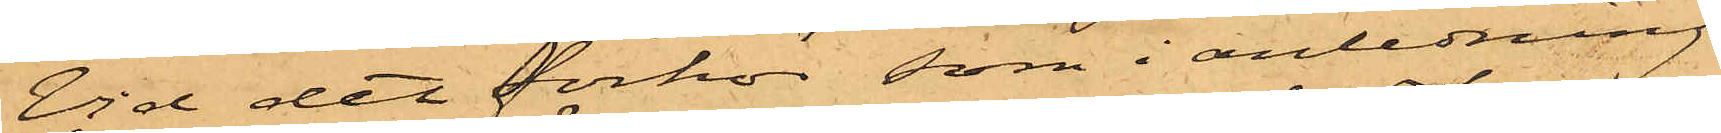Vid det förhör som i anledning
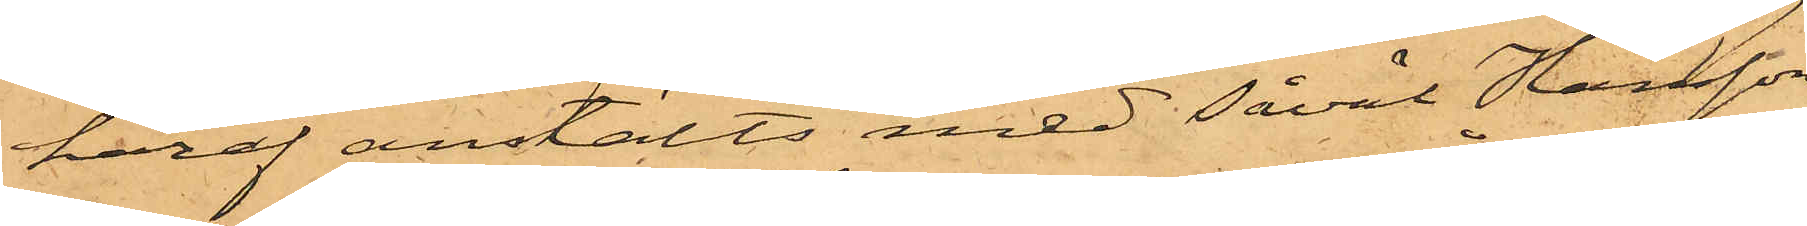häraf anstälts med såväl Hansson
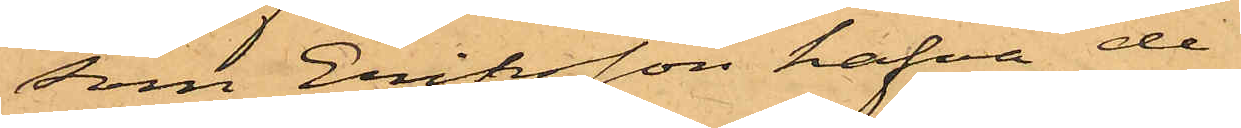som Eriksson hafva de
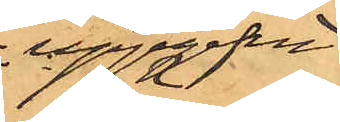uppgifvit
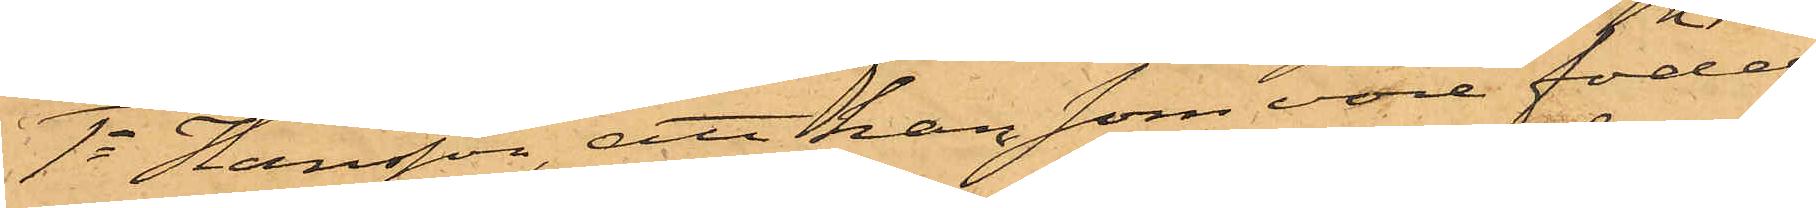1o Hansson, att han som vore född
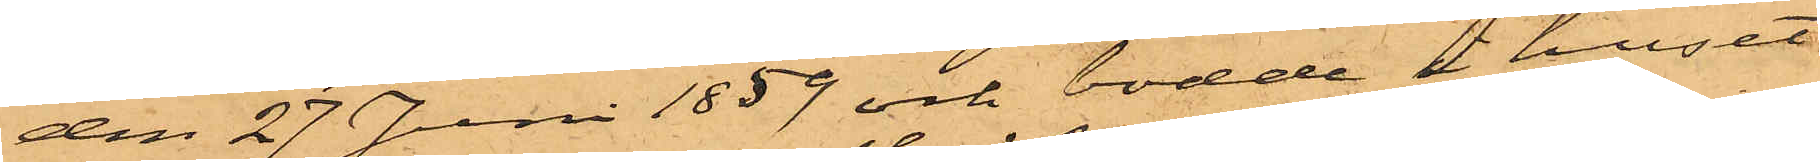den 27 Juni 1859 och bodde i huset
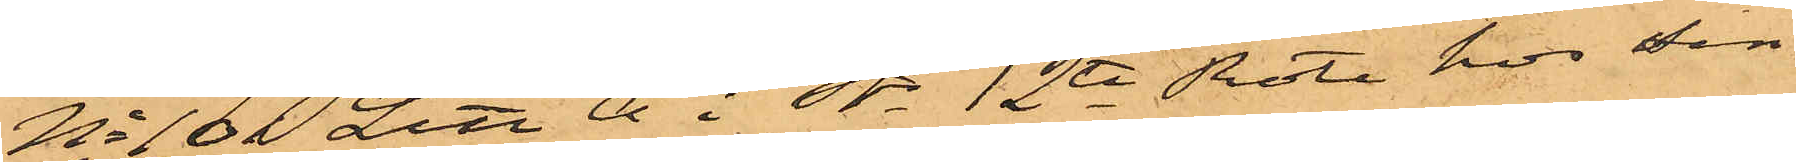No 101 Litt A i Sts 12te Rote hos sin
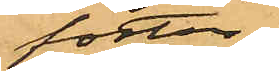foster¬
